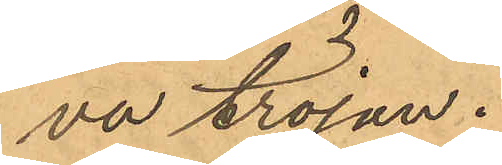va tröjan.
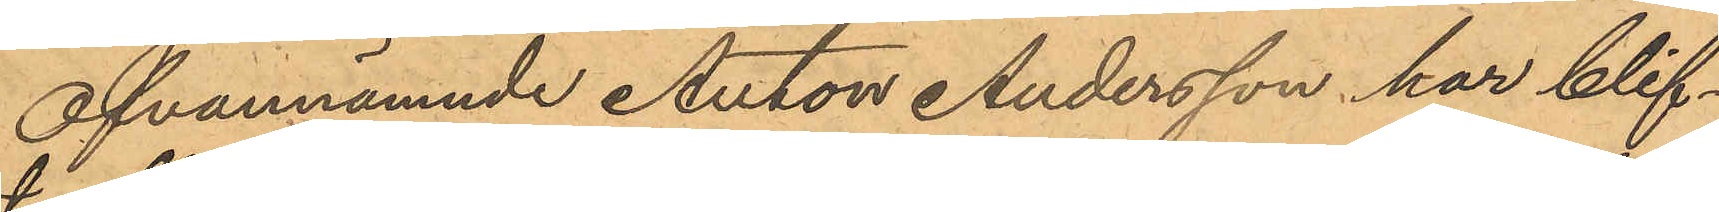Ofvannämnde Anton Andersson har blif¬
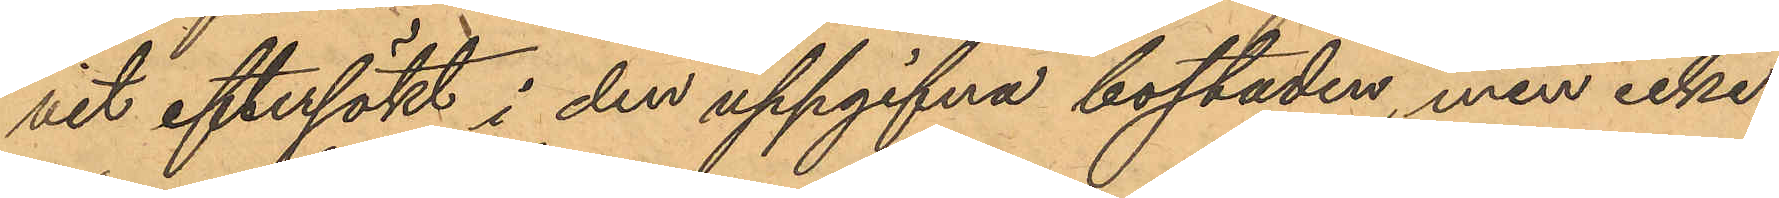vit eftersökt i den uppgifna bostaden, men icke
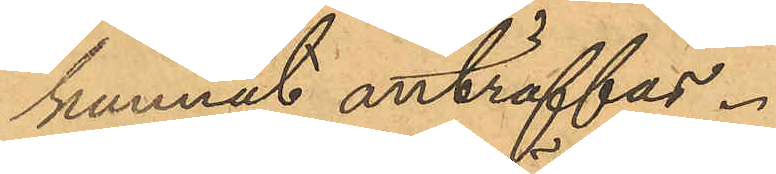kunnat anträffas.
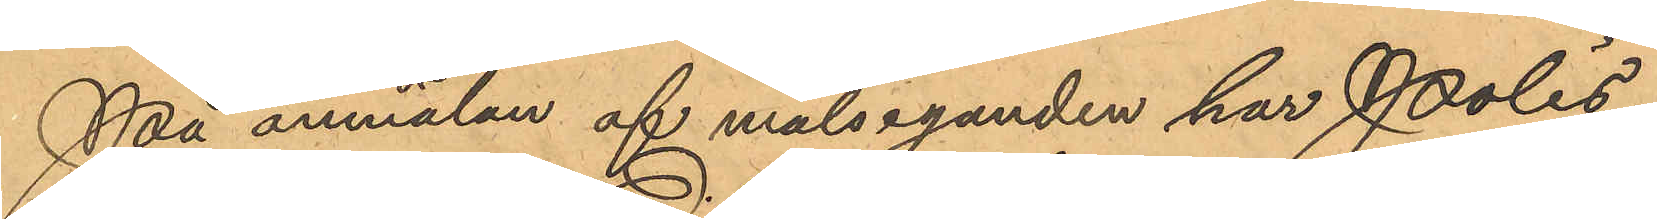På anmälan af målseganden har Polis¬
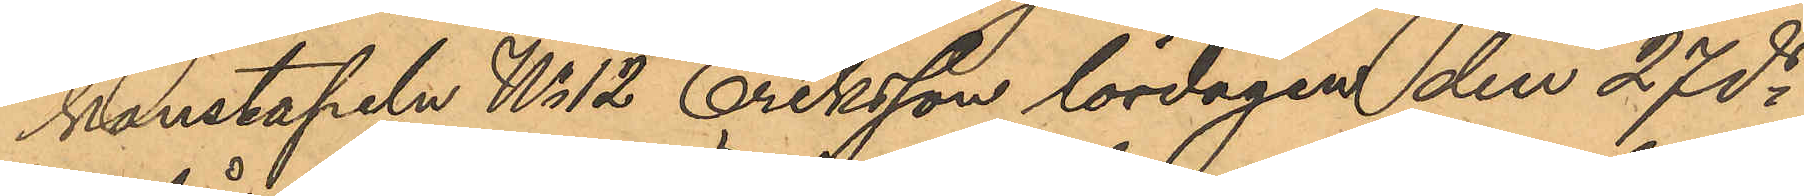konstapeln No 12 Eriksson lördagen den 27 ds
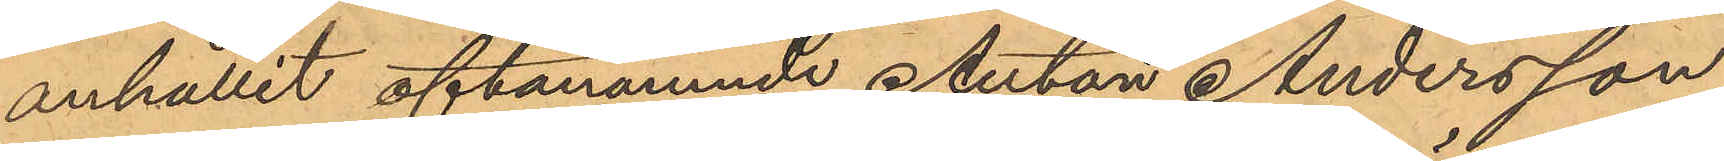anhållit oftanämnde Anton Andersson
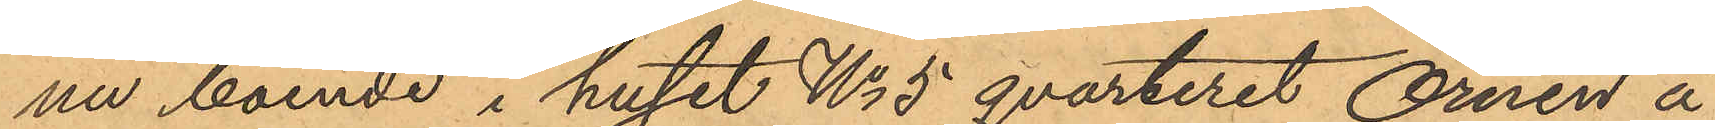nu boende i huset No 5 qvarteret Örnen å
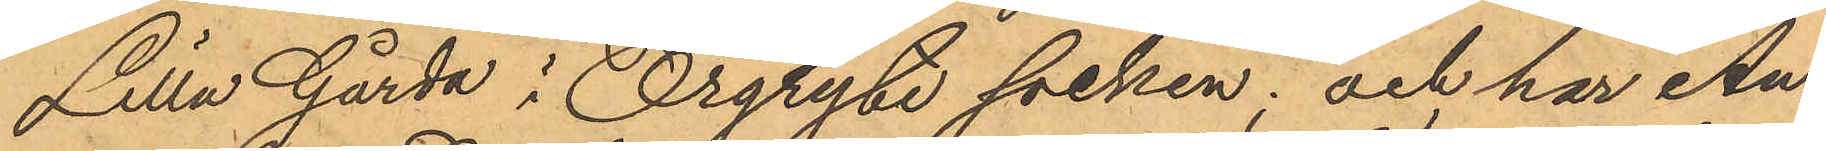Lilla Gårda i Örgryte socken; och har An¬
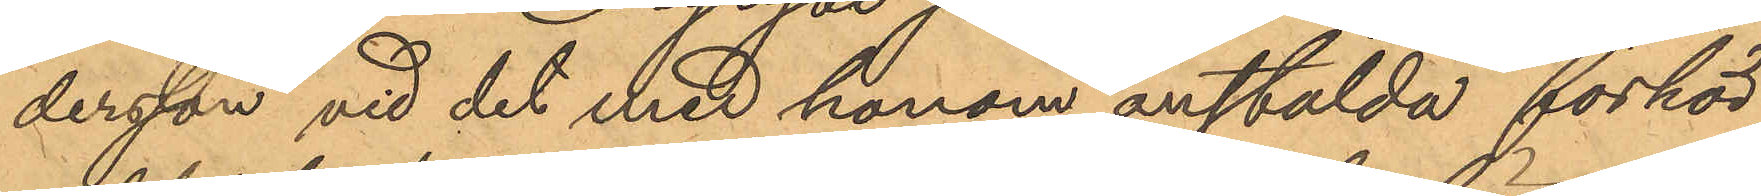dersson vid det med honom anstälda förhör
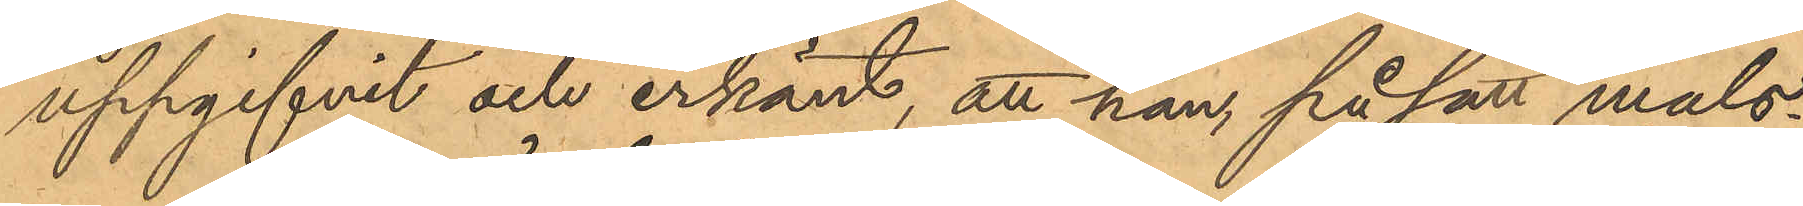uppgifvit och erkänt, att han, på sätt måls¬
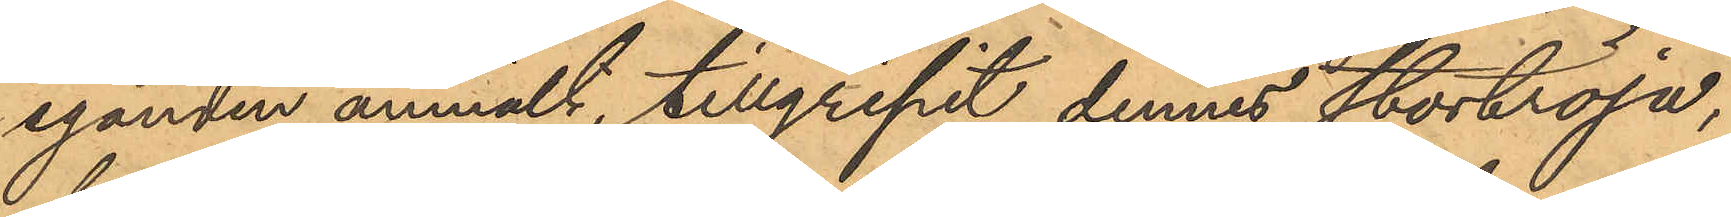eganden anmält, tillgripit dennes stortröja;
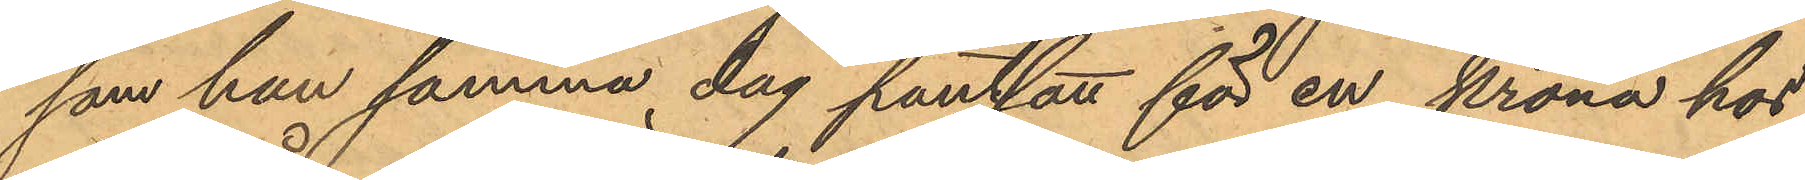som han samma dag pantsatt för en krona hos
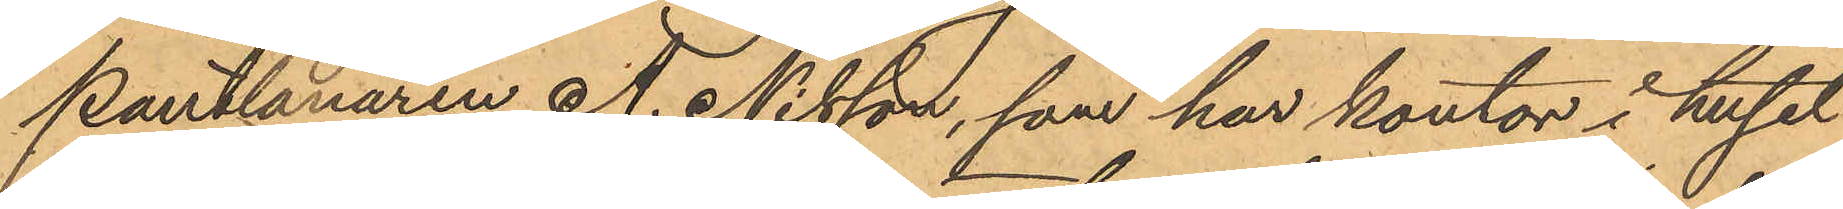Pantlånaren A. Nilsson, som har kontor i huset
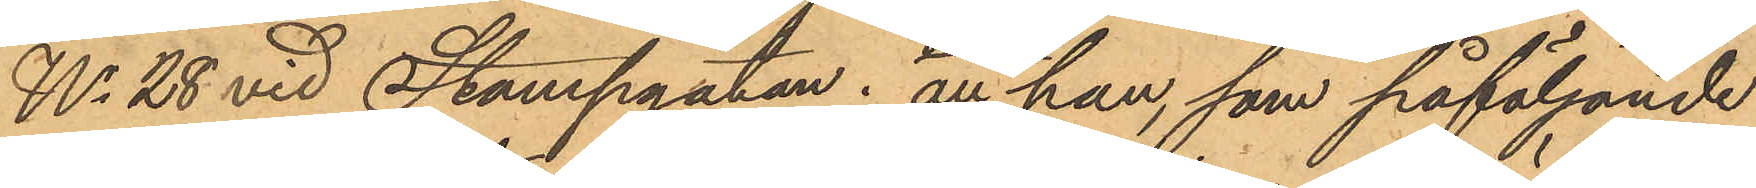No 28 vid Stampgatan; att han, som påföljande
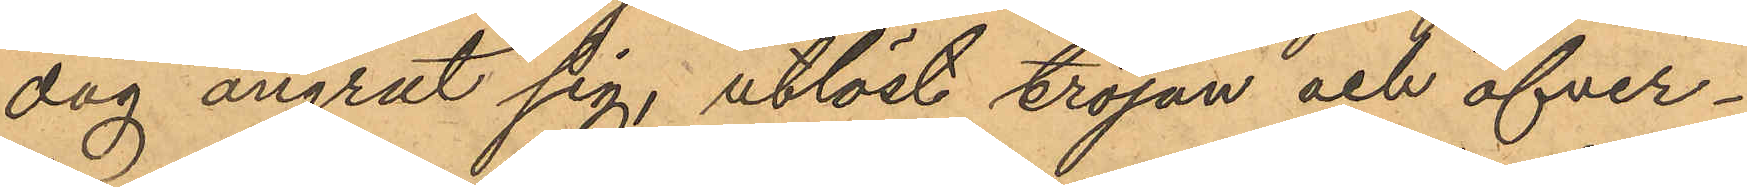dag ångrat sig; utlöst tröjan och öfver¬
